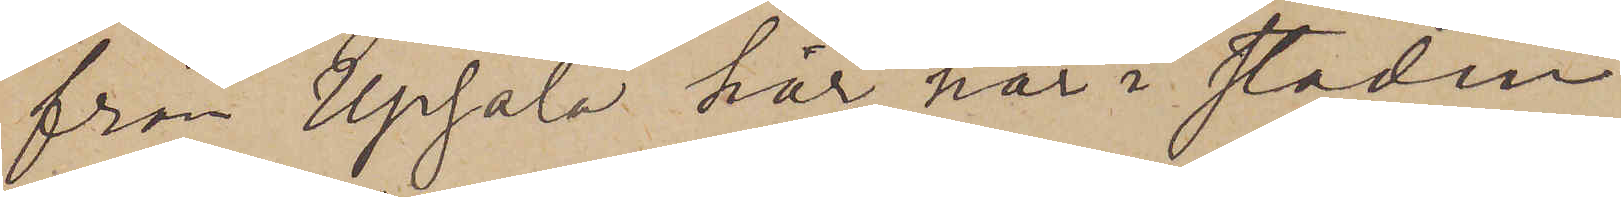från Upsala har här i staden
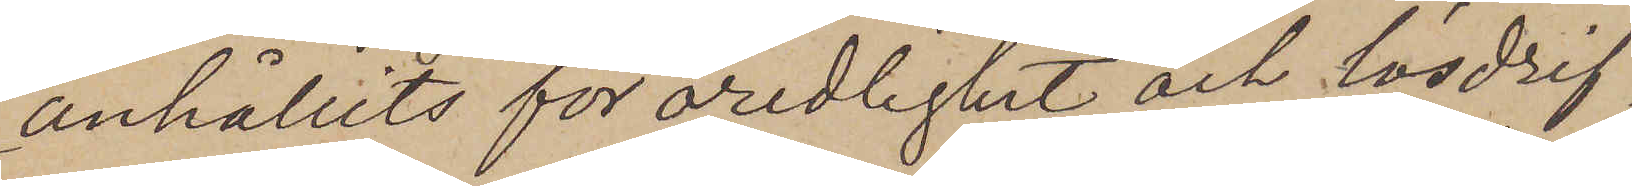anhållits för oredlighet och lösdrif¬
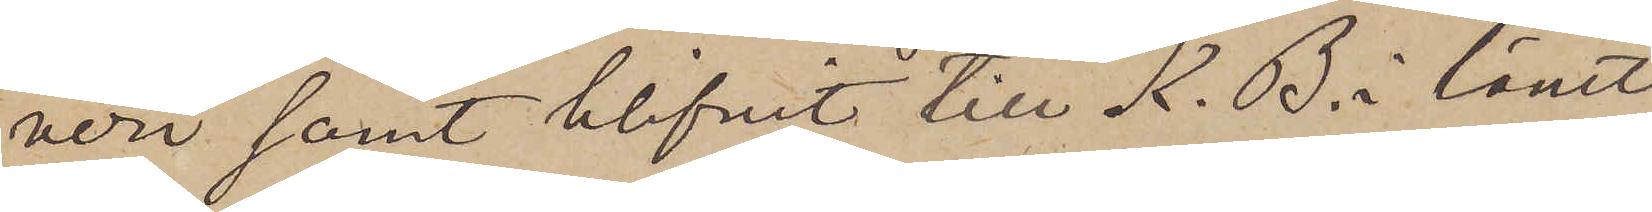veri samt blifvit till K. B. i länet
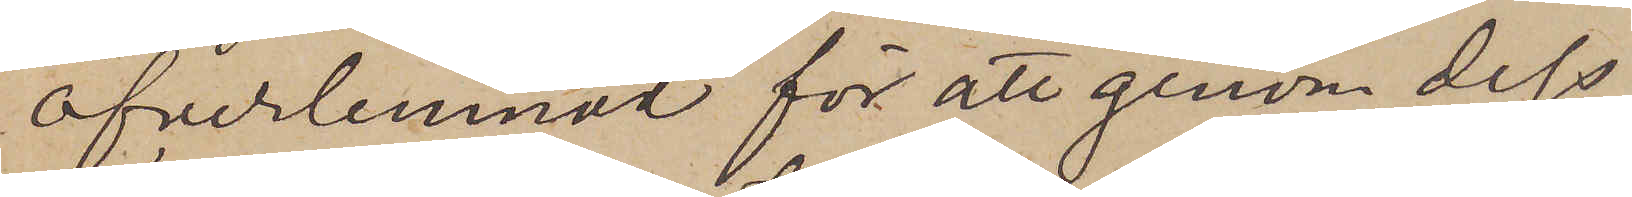öfverlemnad för att genom dess
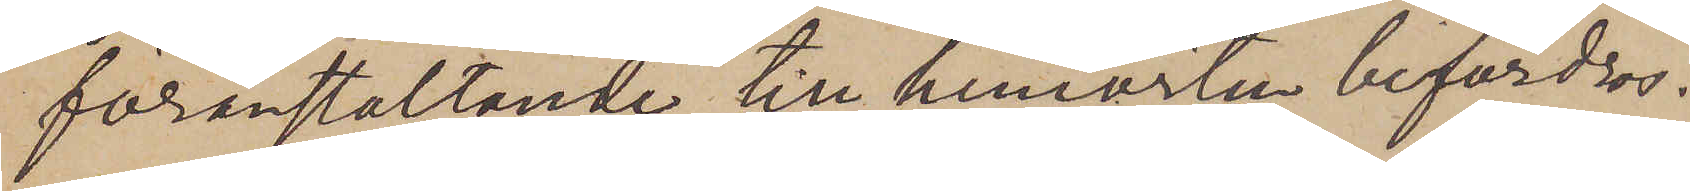föranstaltande till hemorten befordras.
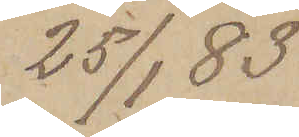25/1 83
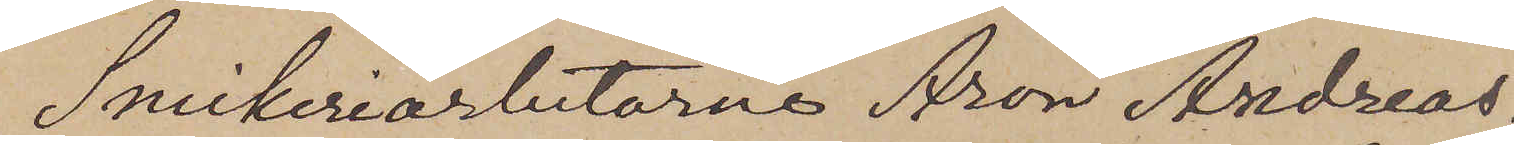Snickeriarbetarne Aron Andreas¬
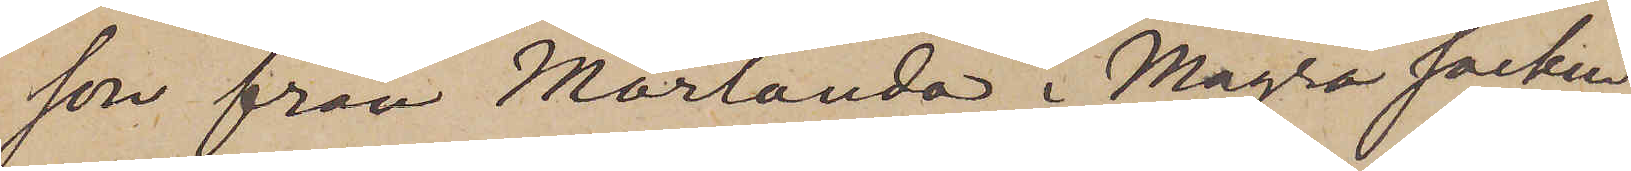son från Mörlanda i Magra socken
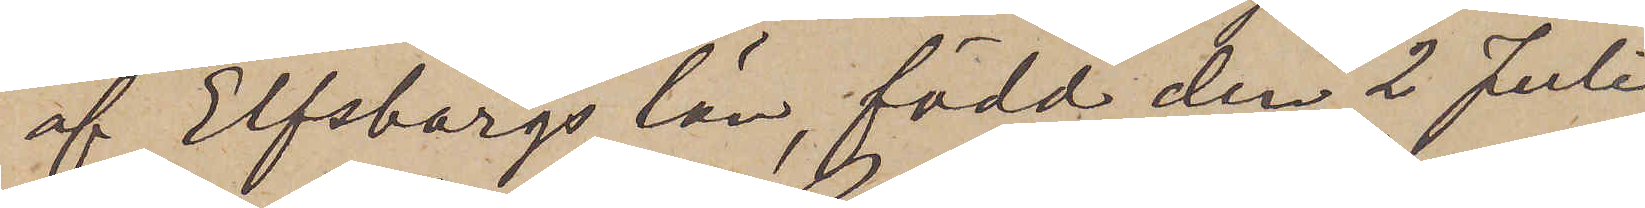af Elfsborgs län, född den 2 Juli
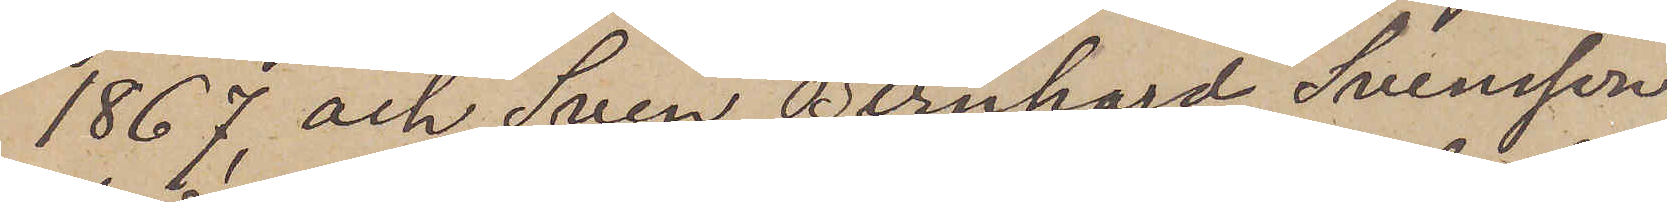1867 och Sven Bernhard Svensson
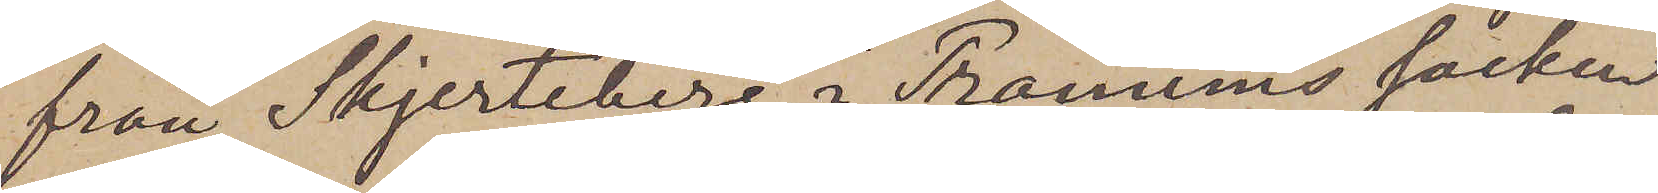från Skjerteberg i Tranums socken
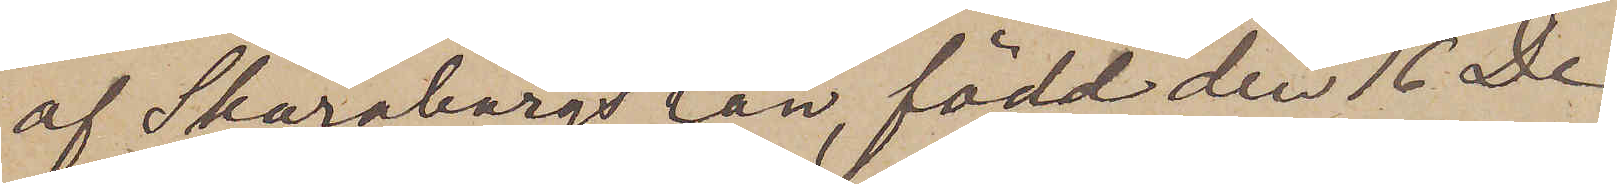af Skaraborgs län, född den 16 De¬
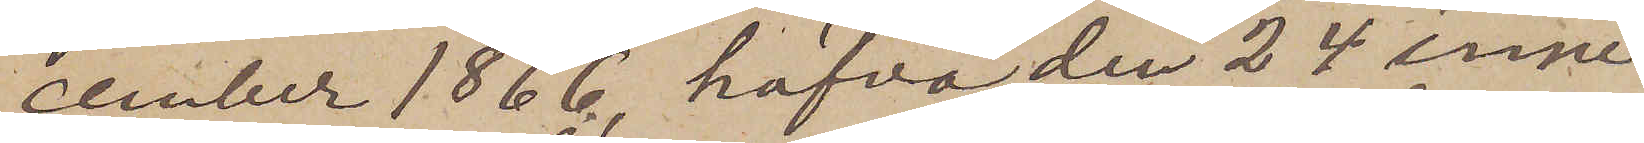cember 1866, hafva den 24 inne¬
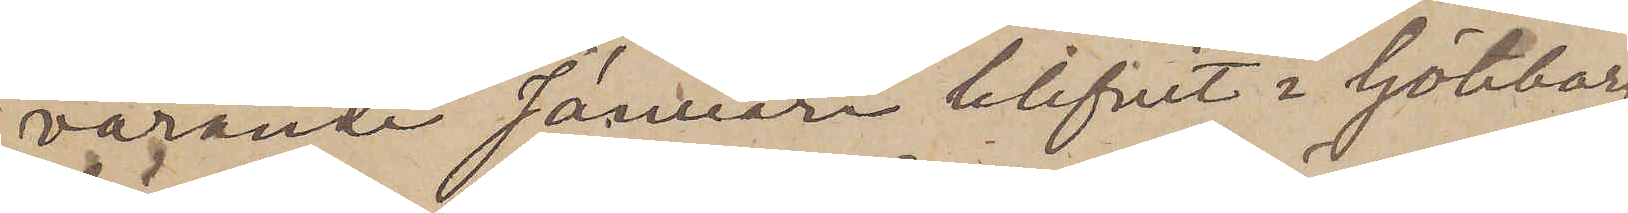varande Januari blifvit i Göteborg
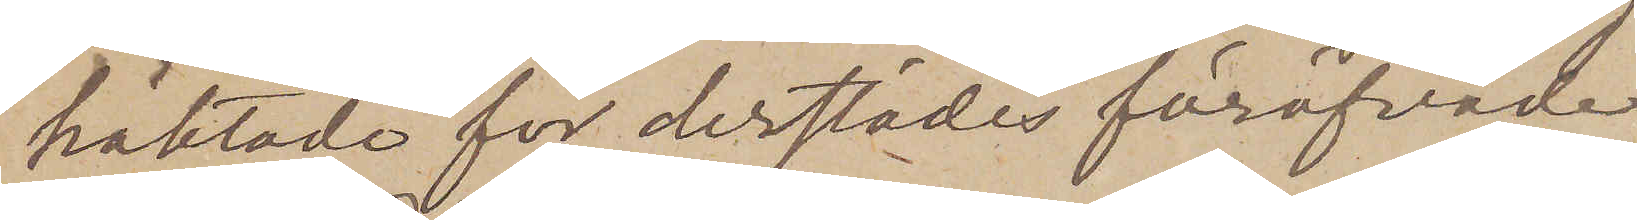häktade för derstädes föröfvade
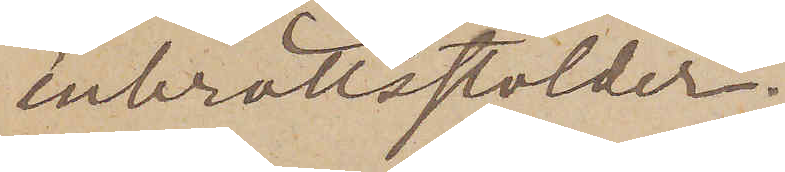inbrottsstölder.
